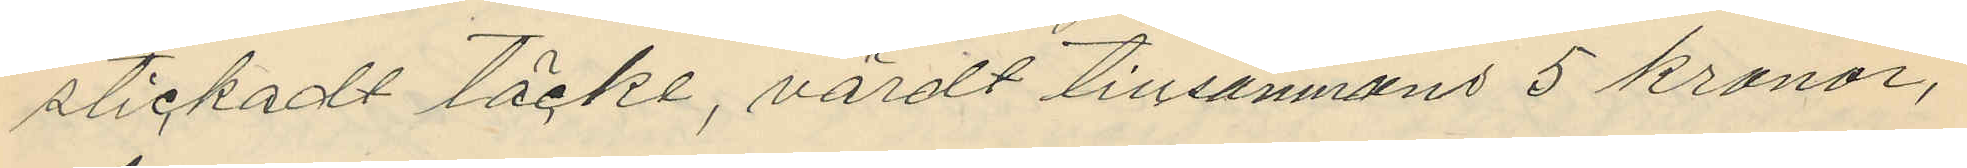stickadt täcke, värdt tillsammans 5 kronor,
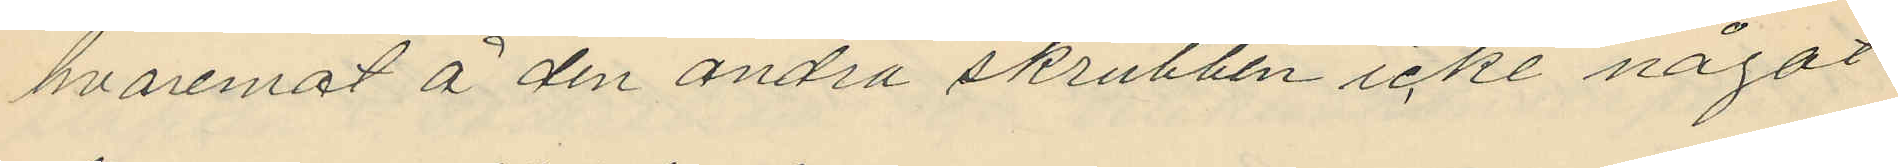hvaremot å den andra skrubben icke något
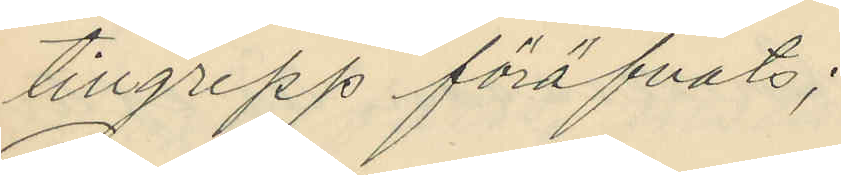tillgrepp föröfvats;
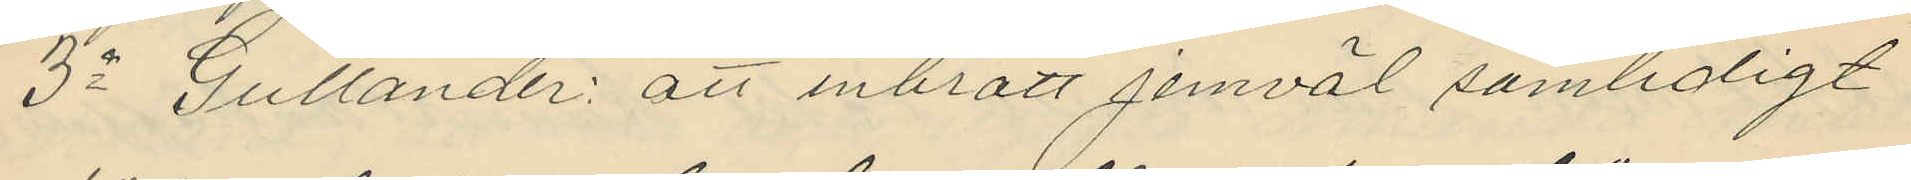3o Gullander: att inbrott jemväl samtidligt
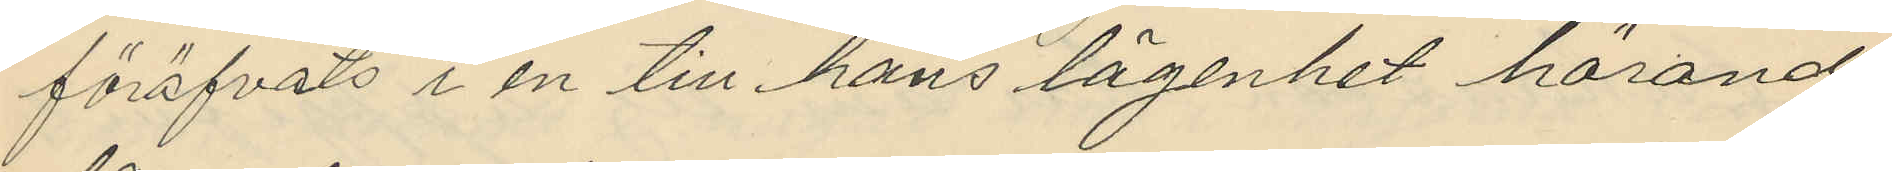föröfvats i en till hans lägenhet hörande
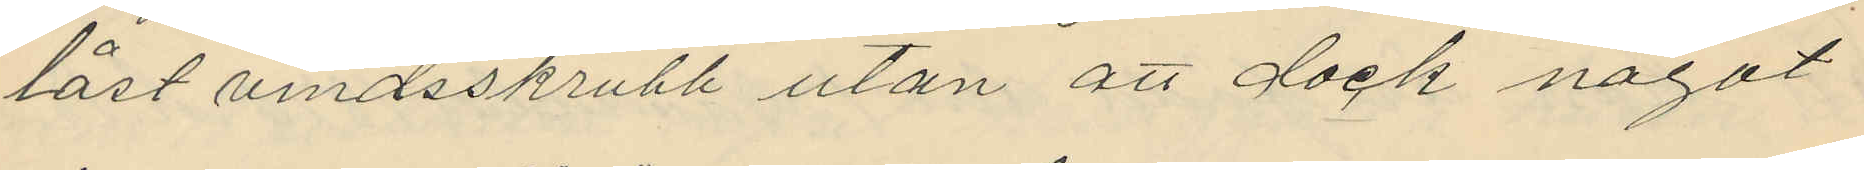låst vindsskrubb utan att dock något
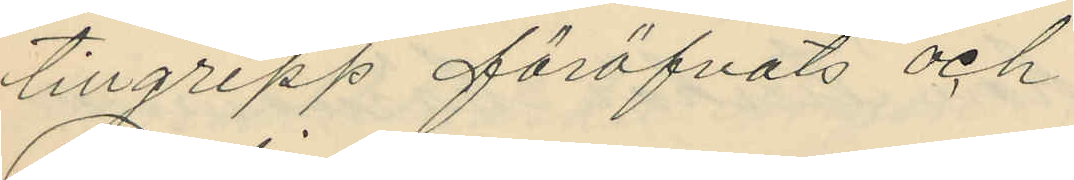tillgrepp föröfvats och
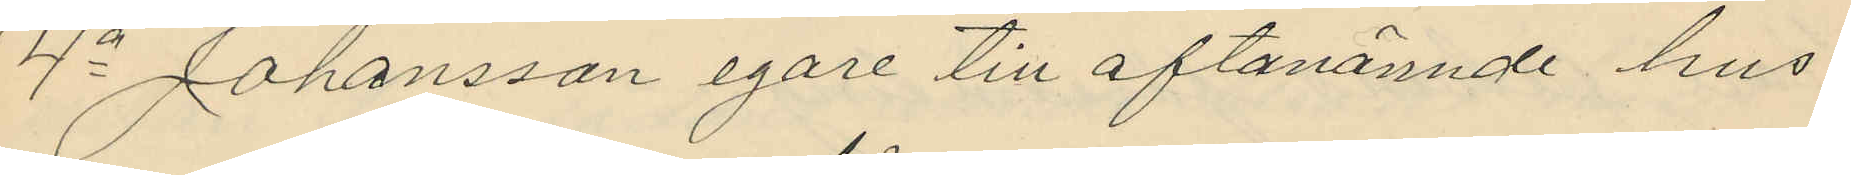4o Johansson egare till oftanämnde hus
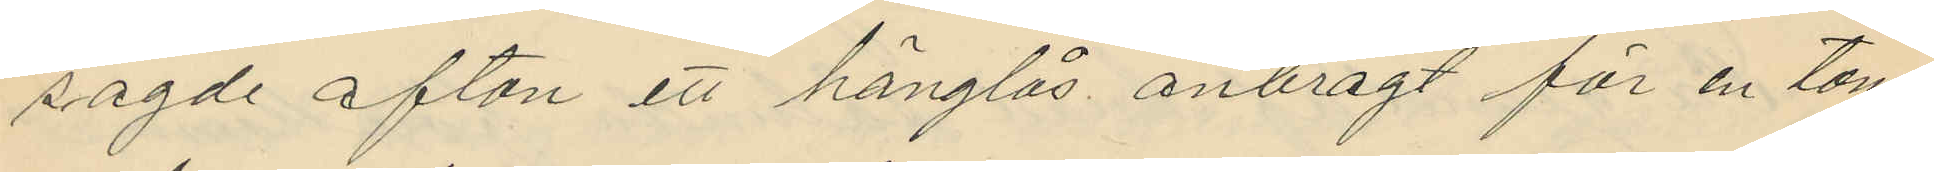sagde afton ett hänglås anbragt för en tom
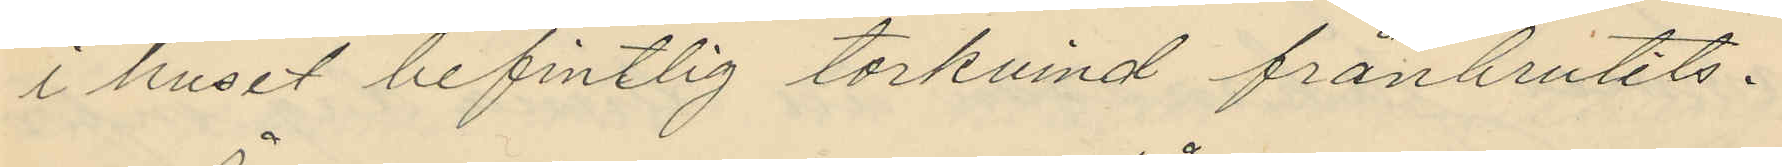i huset befintlig torkvind frånbrutits.
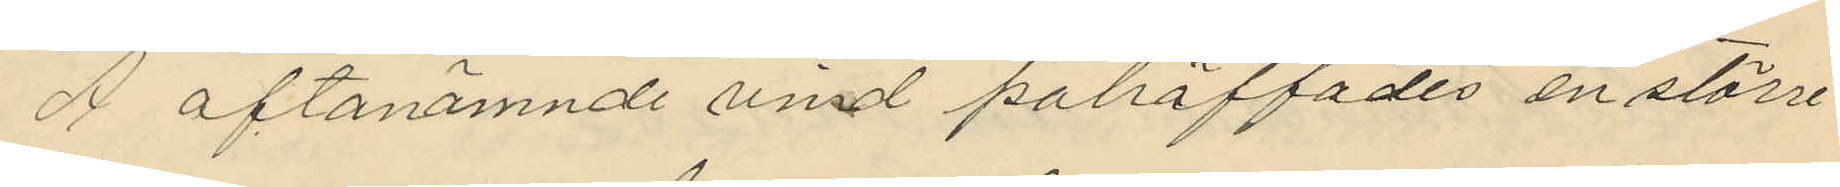Å oftanämnde vind påträffades en större
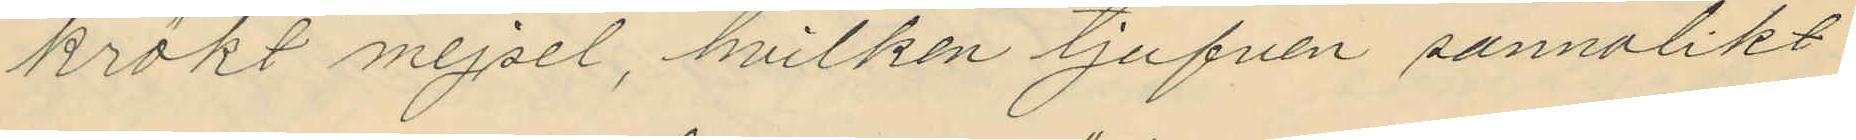krökt mejsel, hvilken tjufven sannolikt
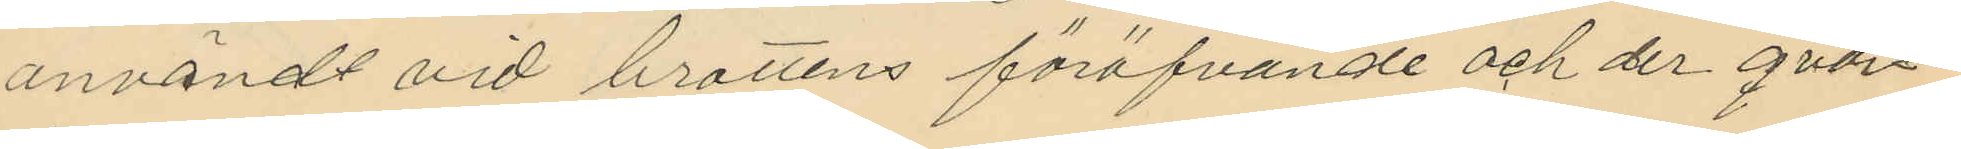användt vid brottens föröfvande och der qvar¬
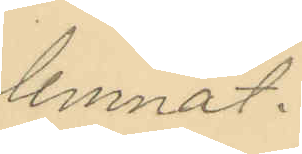lemnat.
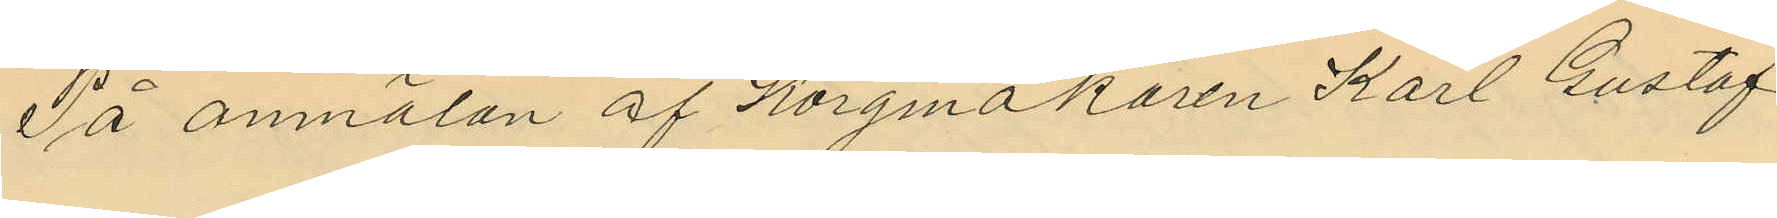På anmälan af Korgmakaren Karl Gustaf
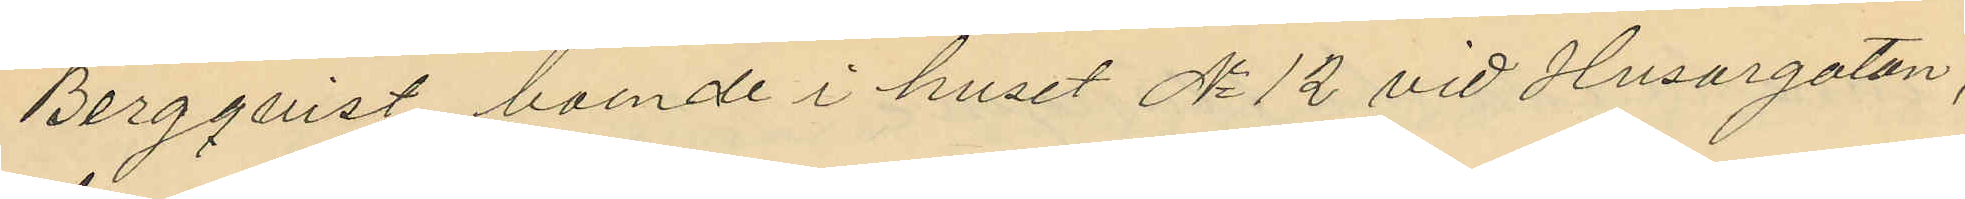Bergqvist boende i huset No 12 vid Husargatan,
